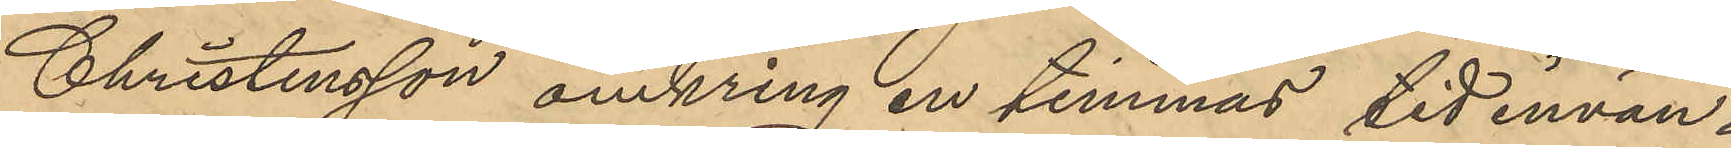Christensson omkring en timmas tid invän¬
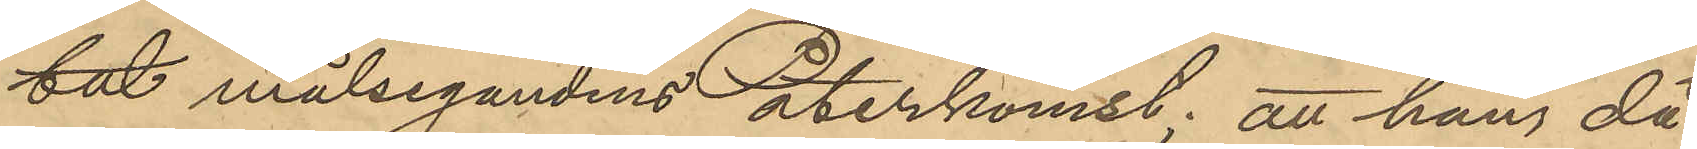tat målsegandens återkomst; att han då
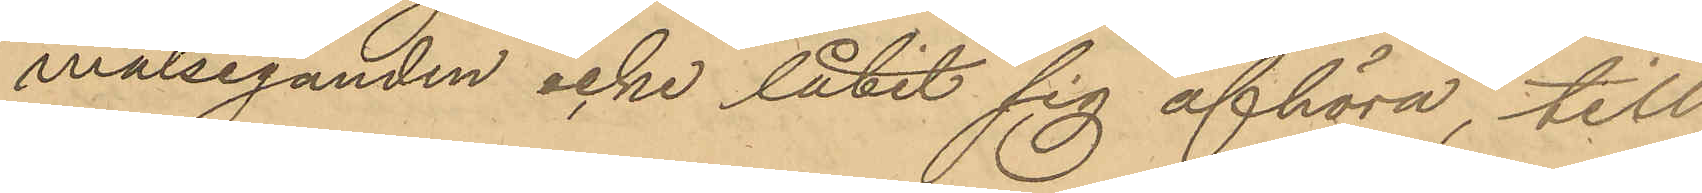målseganden icke låtit sig afhöra till
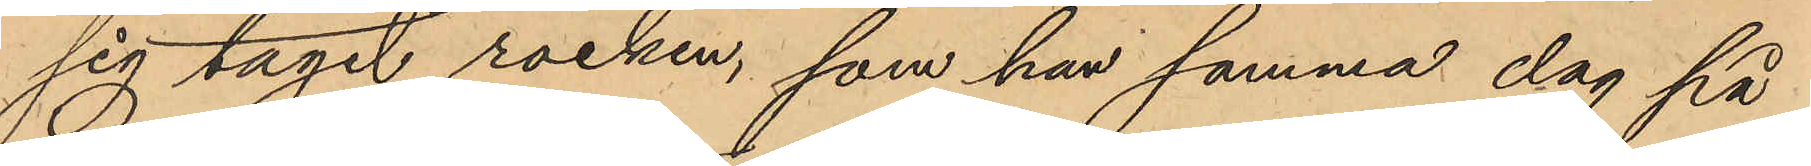sig tagit rocken, som han samma dag på
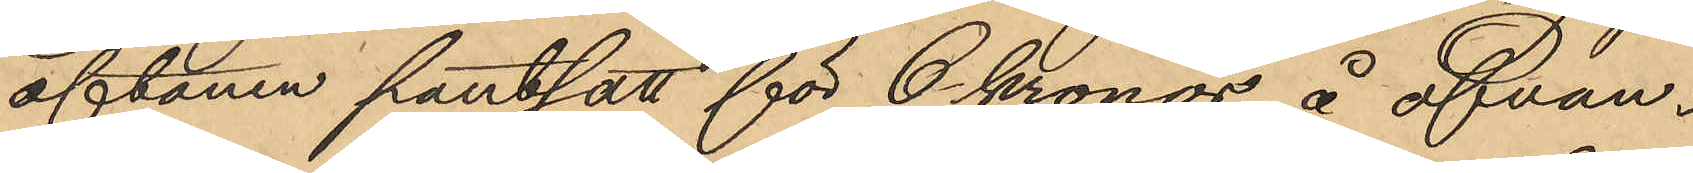aftonen pantsatt för 6 kronor å ofvan¬
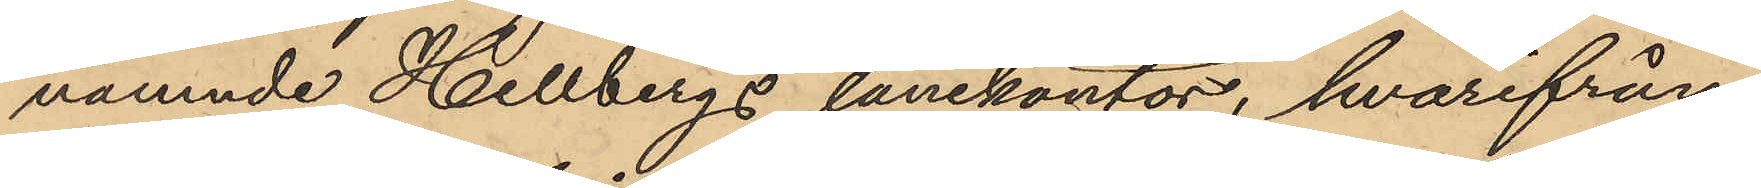nämnde Hellbergs lånekontor, hvarifrån
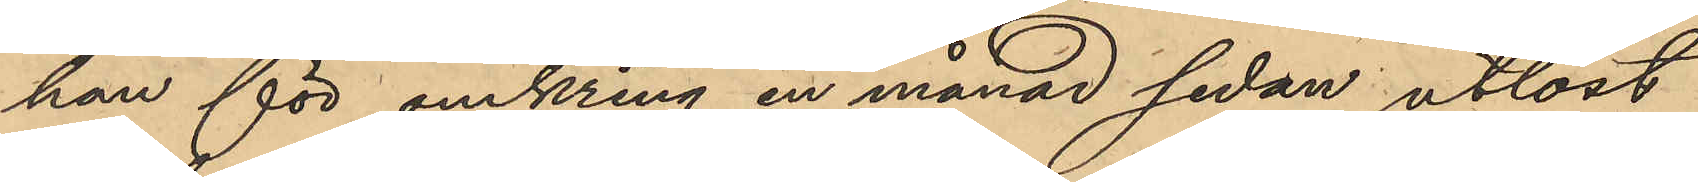han för omkring en månad sedan utlöst.
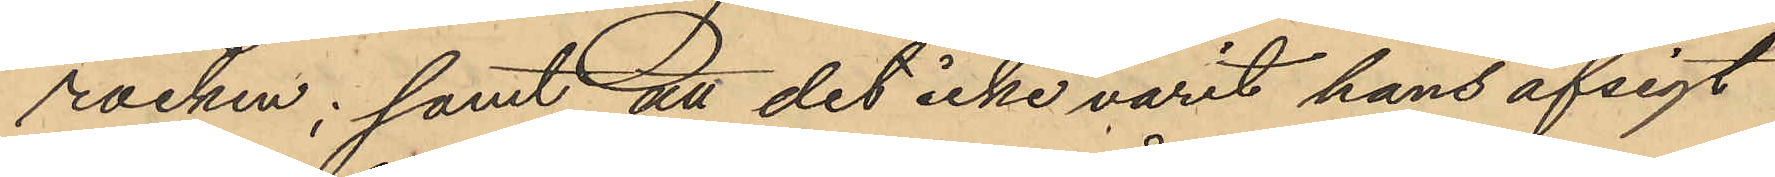rocken; samt att det icke varit hans afsigt
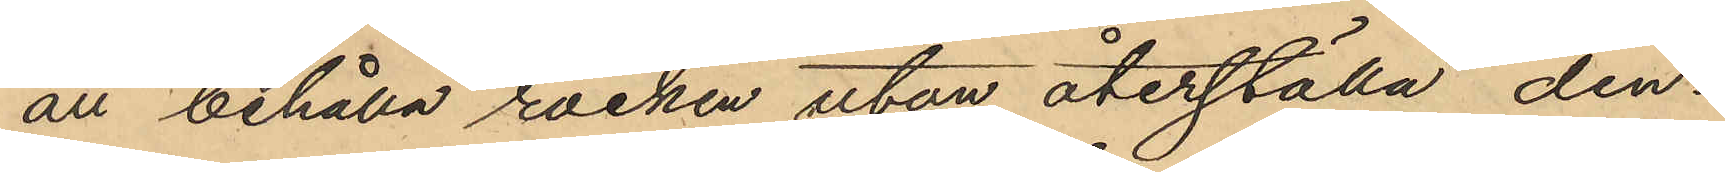att behålla rocken utan återställa den¬
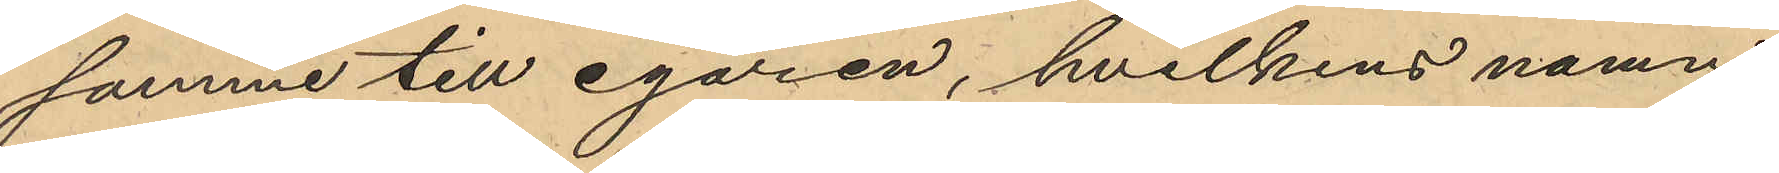samme till egaren, hvilkens namn
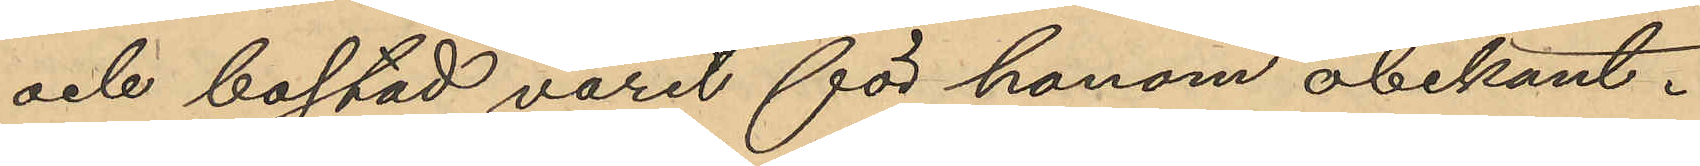och bostad varit för honom obekant.
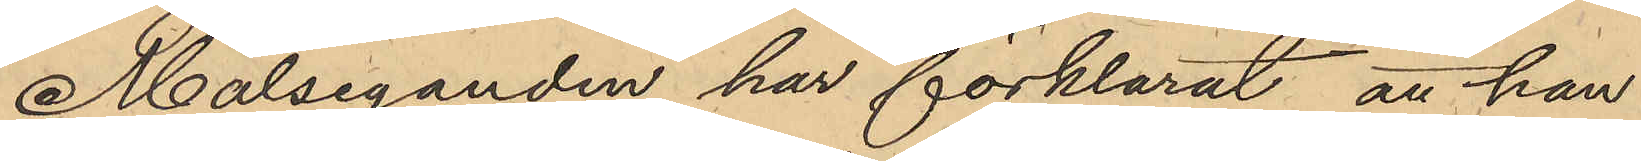Målseganden har förklarat, att han
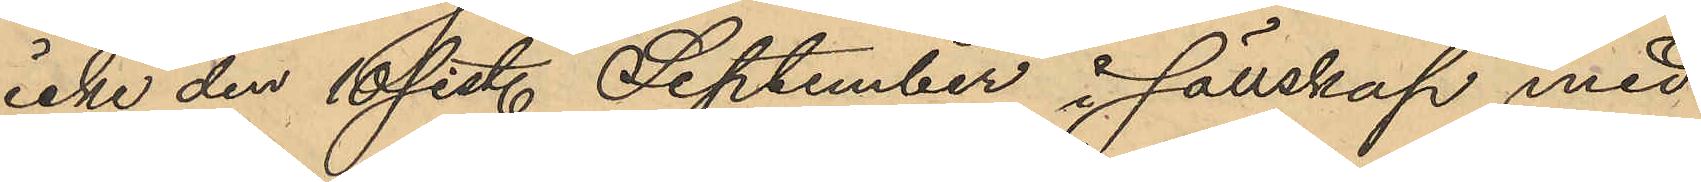icke den 16 sist. September i sällskap med
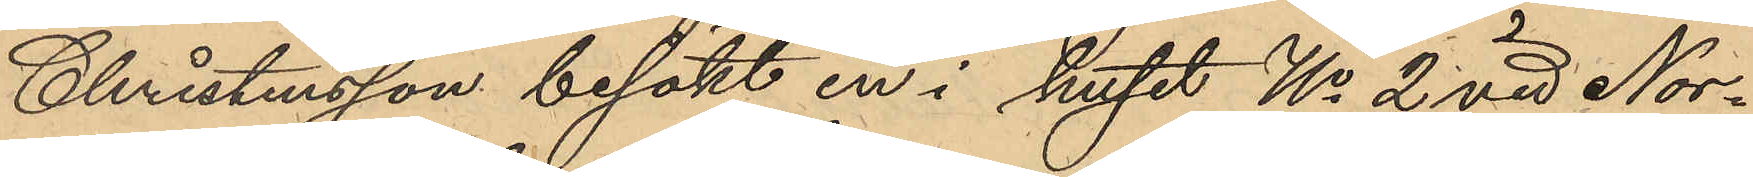Christensson besökt en i huset No 2 vid Nor¬
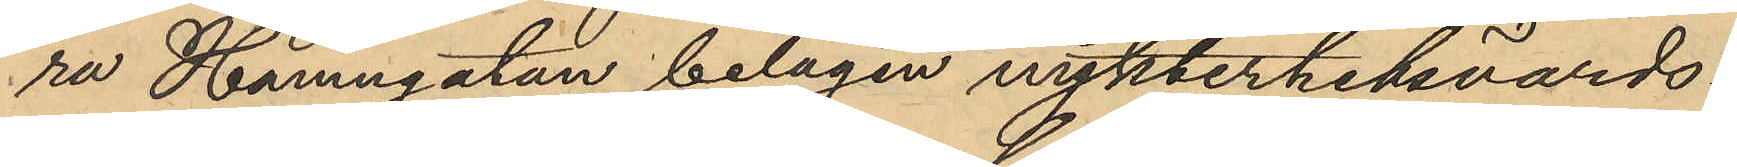ra Hamngatan belägen nykterhetsvärds¬
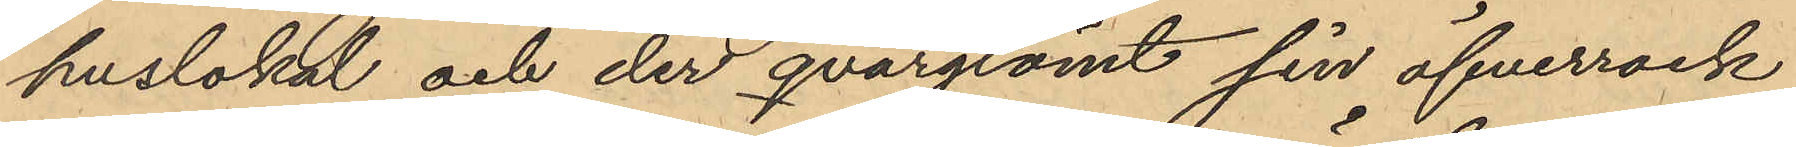huslokal och der qvargrömt sin öfverrock
